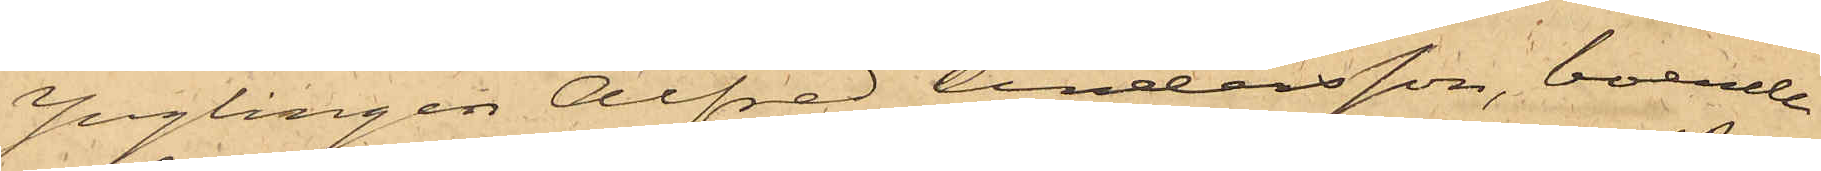Ynglingen Alfred Andersson, boende
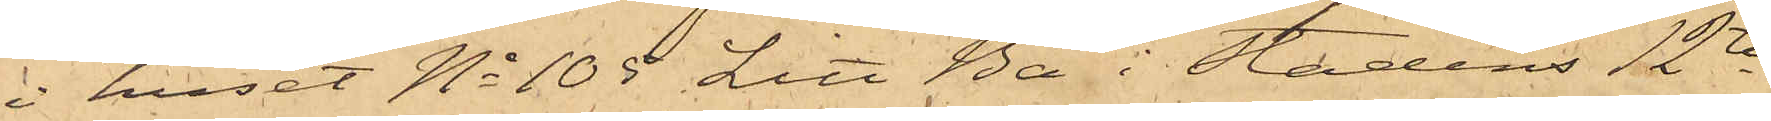i huset No 105 Litt Ba i Stadens 12te
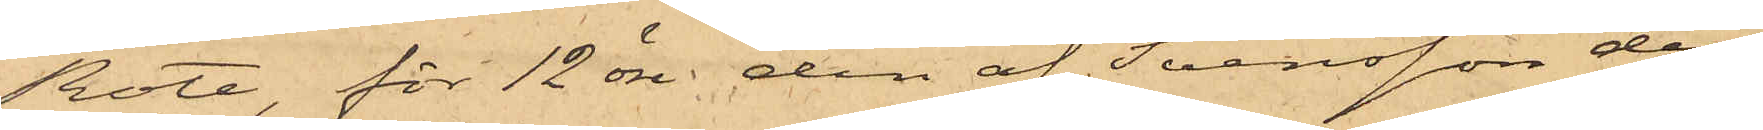Rote, för 12 öre den af Svensson den
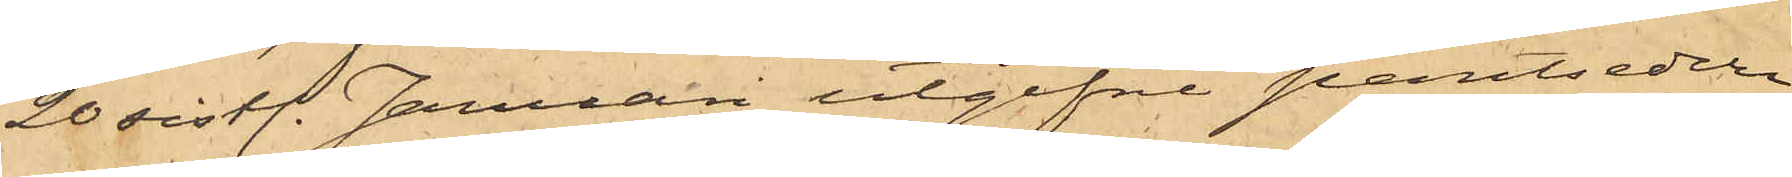20 sistl. Januari utgifne pantsedeln
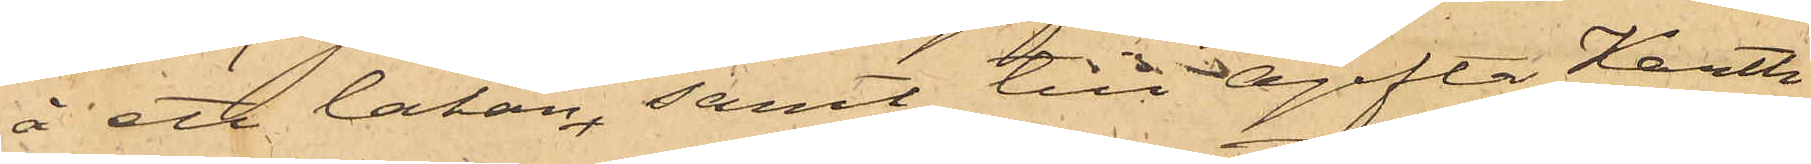å ett lakan, samt till ogifta Karth
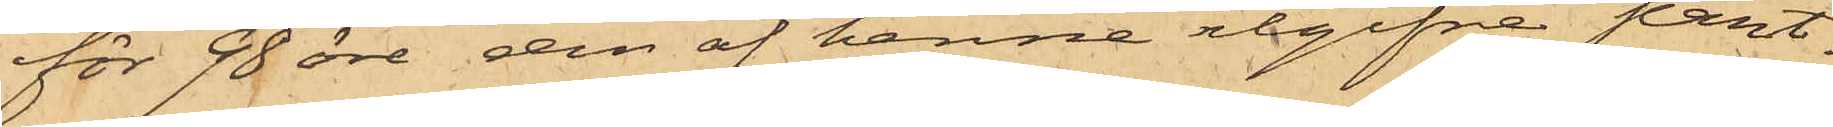för 90 öre den af henne utgifne pant¬
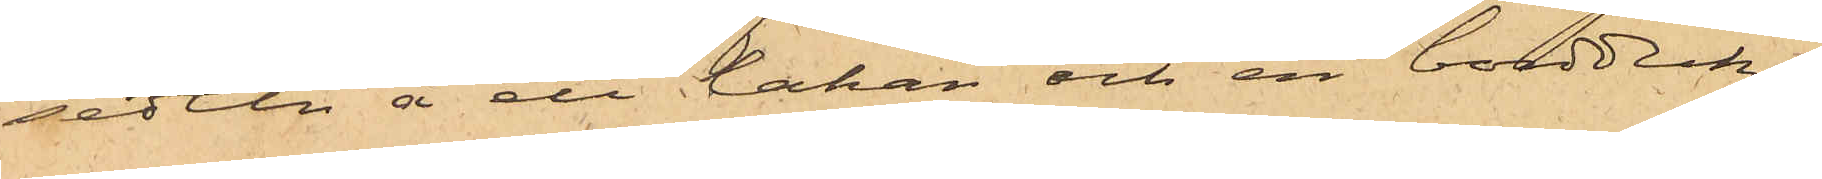sedeln å ett lakan och en bordduk;
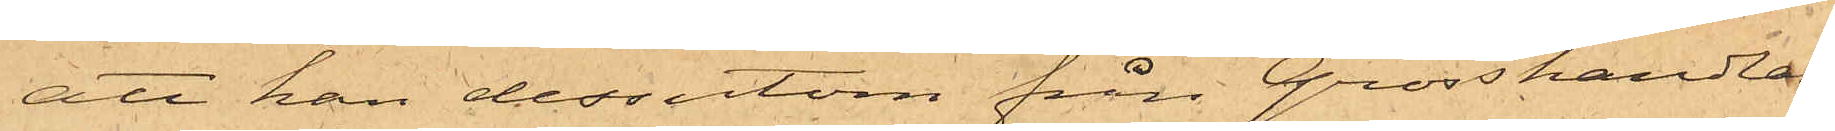att han dessutom från Grosshandlan¬
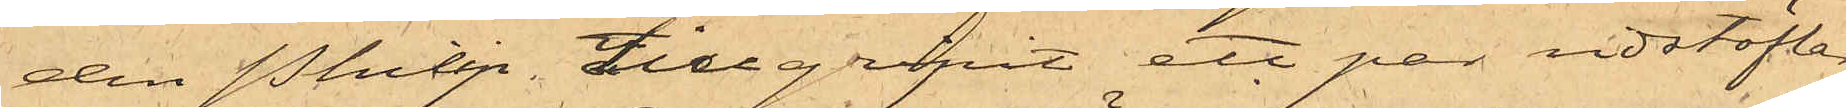den Philip tillgripit ett par ridstöflar
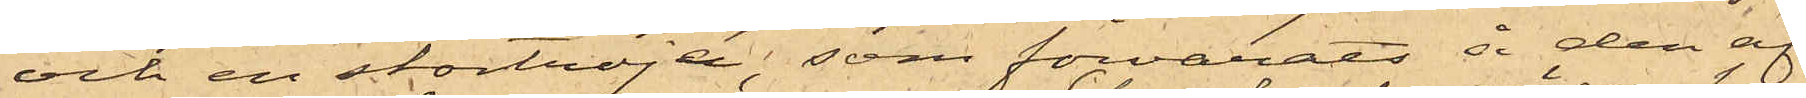och en stortröja, som förvarats å den af
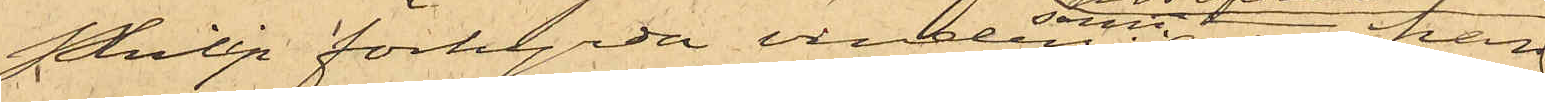Philip förhyrda vinden, samt att han
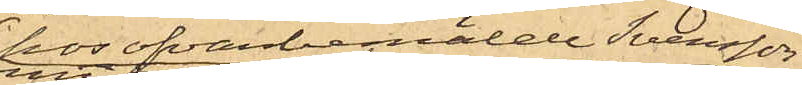hos ofvanbemälde Svensson
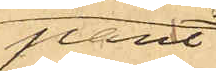pant¬
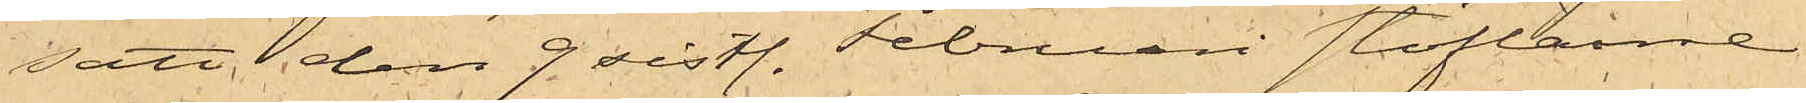satt den 9 sistl. Februari stöflarne
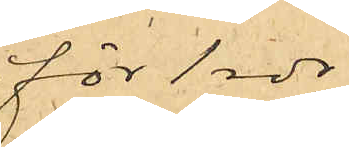för 1 rdr
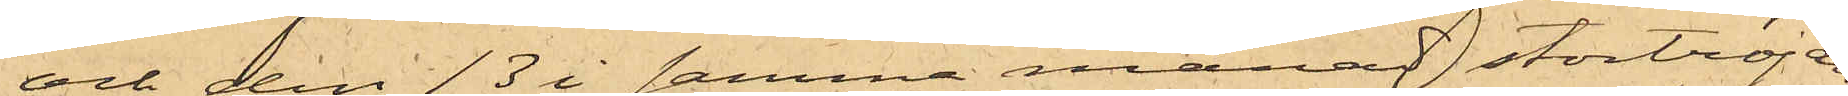och den 13 i samma månad stortröjan
